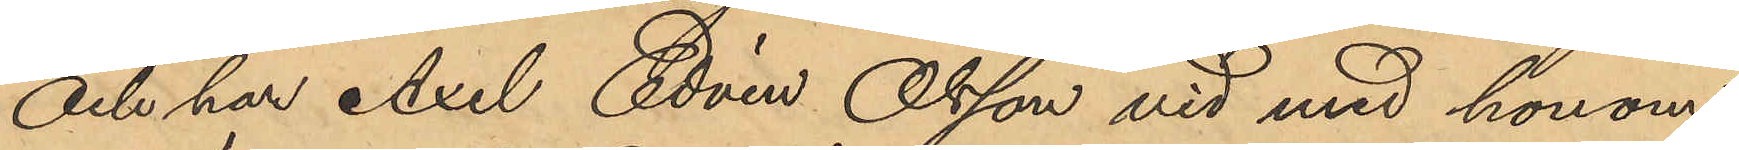och har Axel Edvin Olsson vid med honom
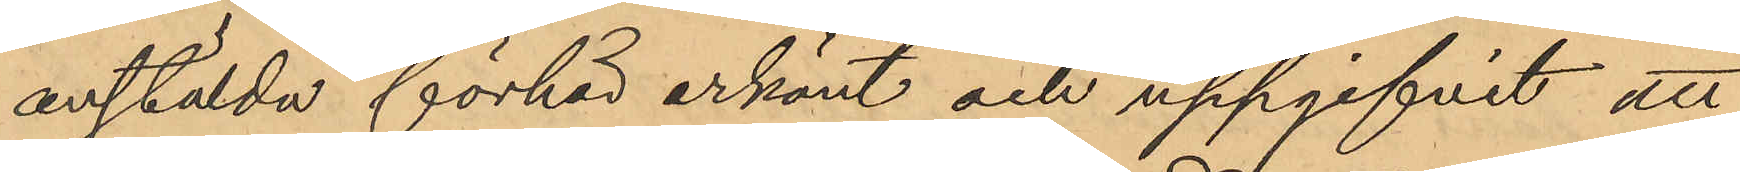anstälda förhör erkänt och uppgifvit att
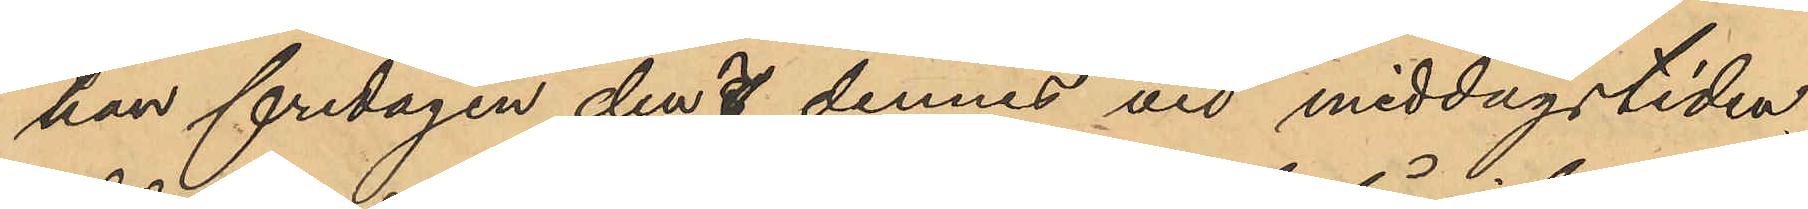han fredagen den 7 dennes vid middagstiden
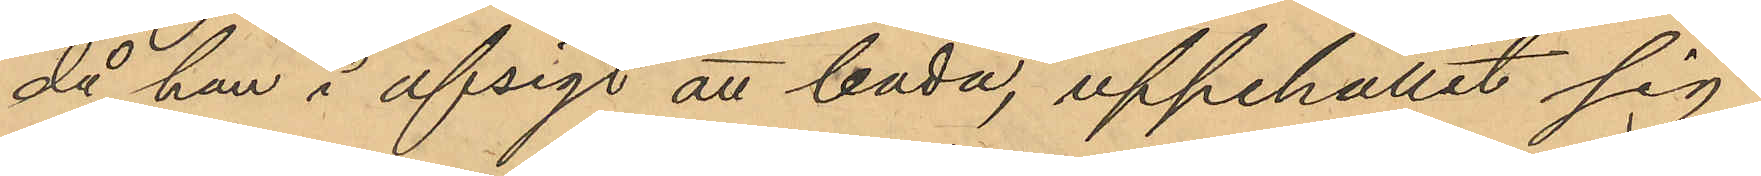då han å afsigt att bada, uppehållit sig
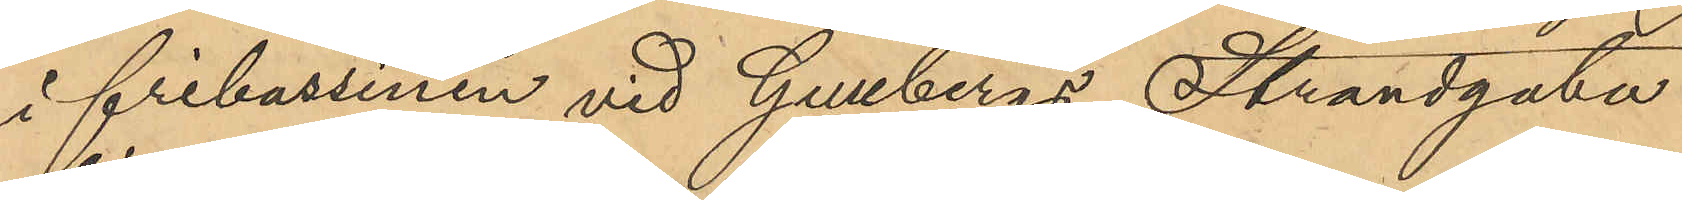i fribassinen vid Gullbergs Strandgata
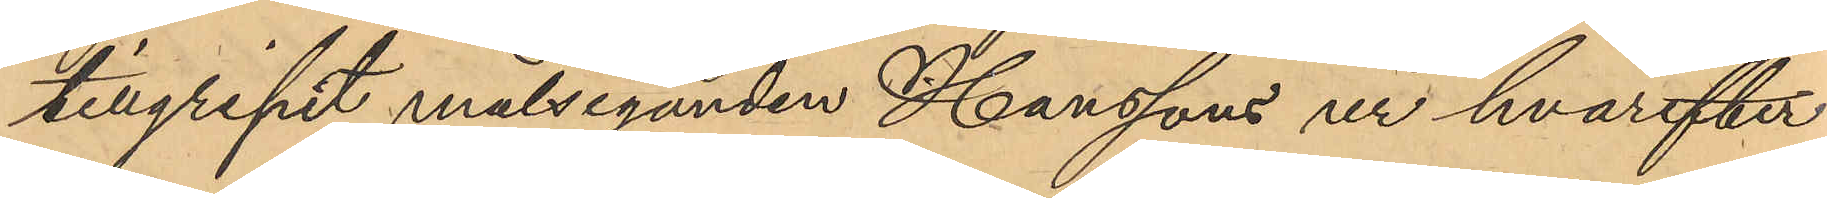tillgripit målseganden Hanssons ur hvarefter
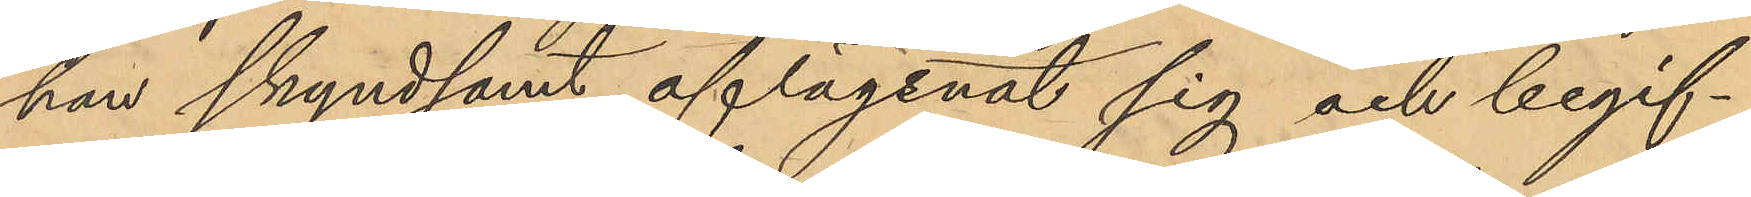han skyndsamt aflägsnat sig och begif¬
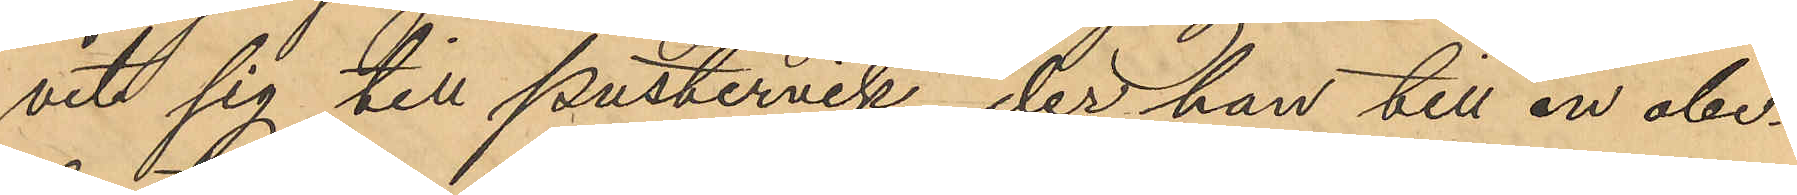vit sig till pustervik, der han till en obe¬
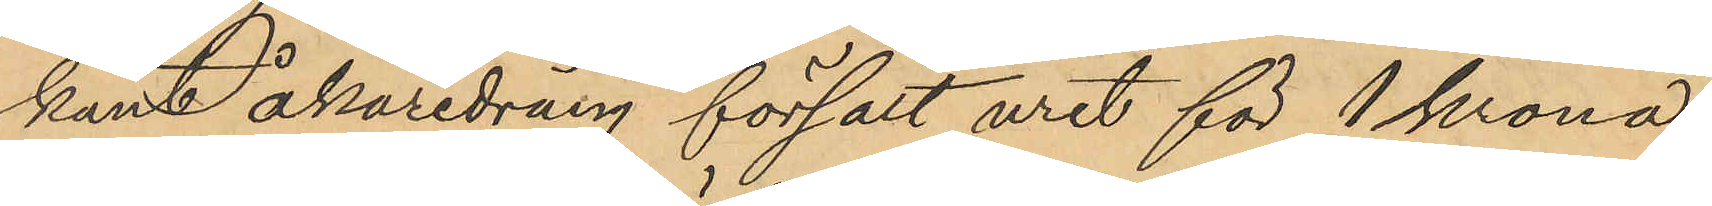kant åkaredräng försålt uret för 1 krona
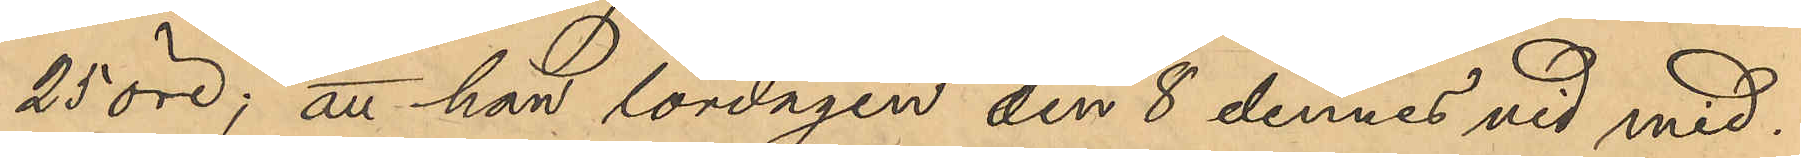25 öre; att han lördagen den 8 dennes vid med¬
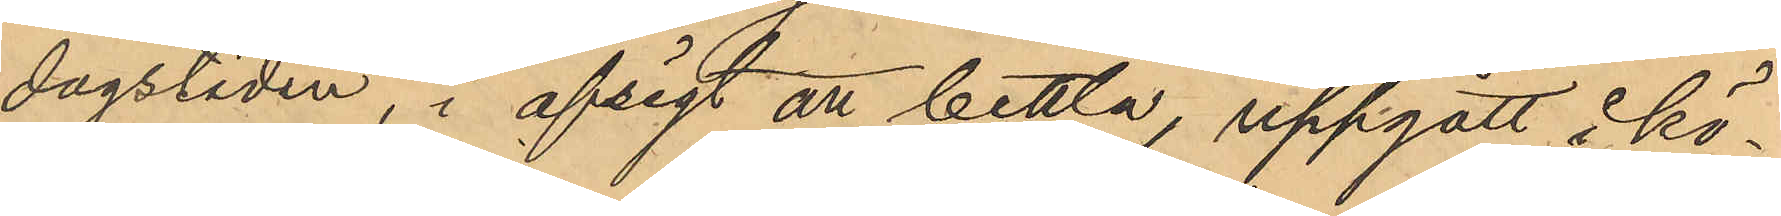dagstiden, i afsigt en bettla, uppgått å kö¬
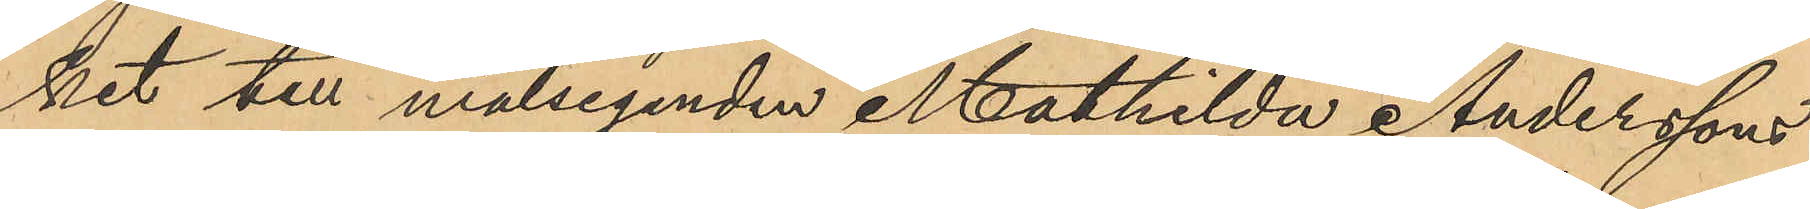ket till målsegenden Mathilda Anderssons
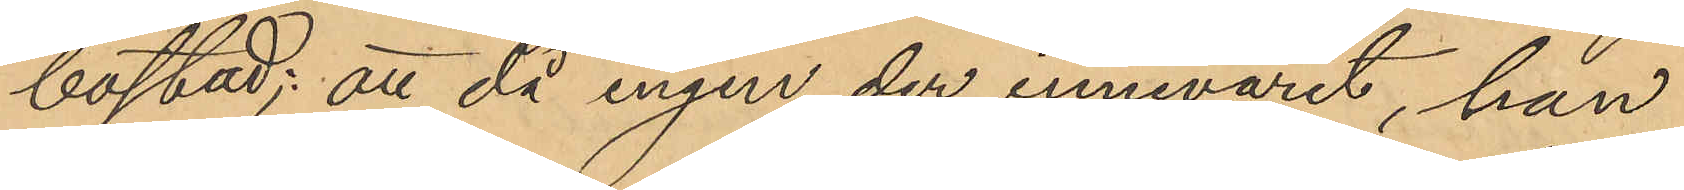bostad; att då ingen der innevarit, han
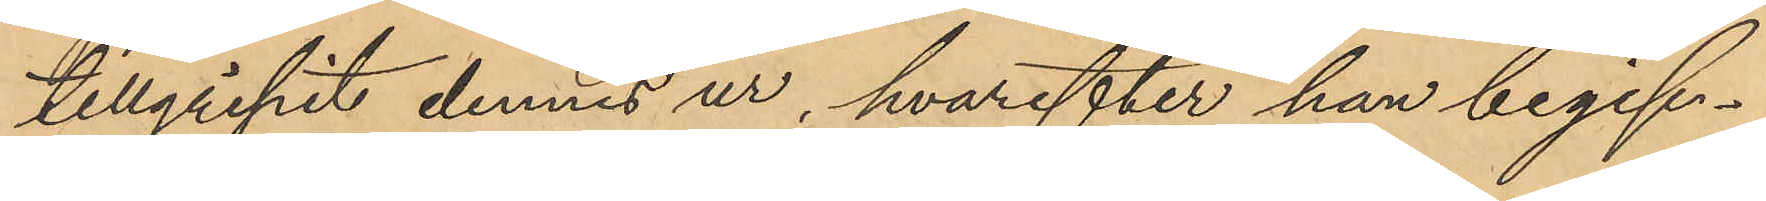tillgripit dennes ur, hvarefter han begif¬
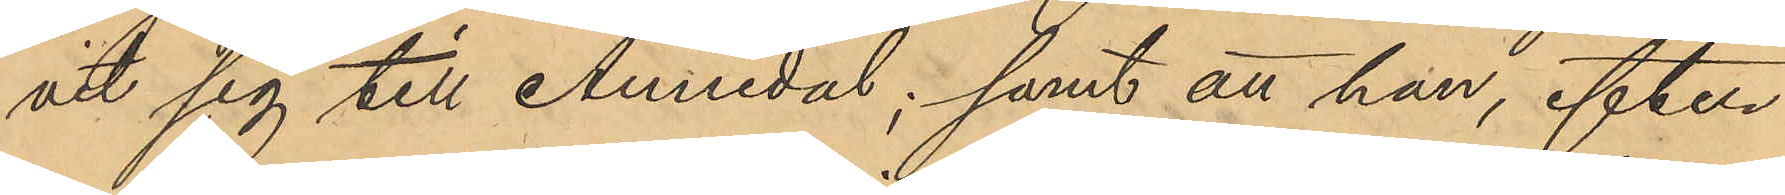vit sig till Annedal; samt att han, efter
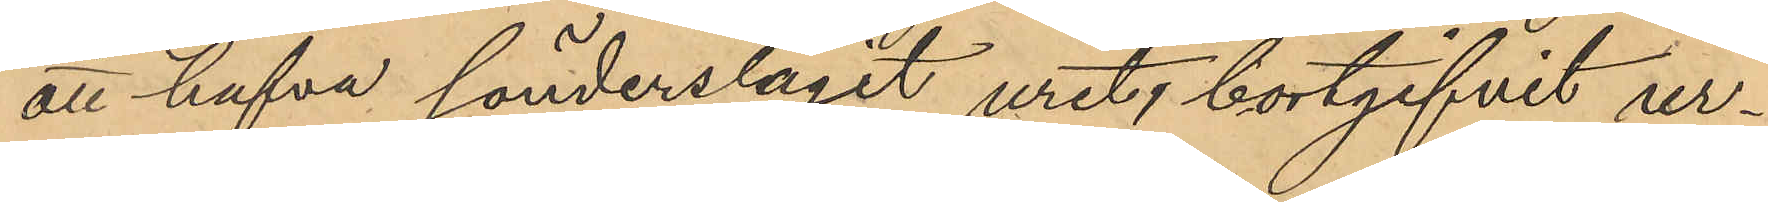att hafva sönderslagit uret, bortgifvit ur¬
